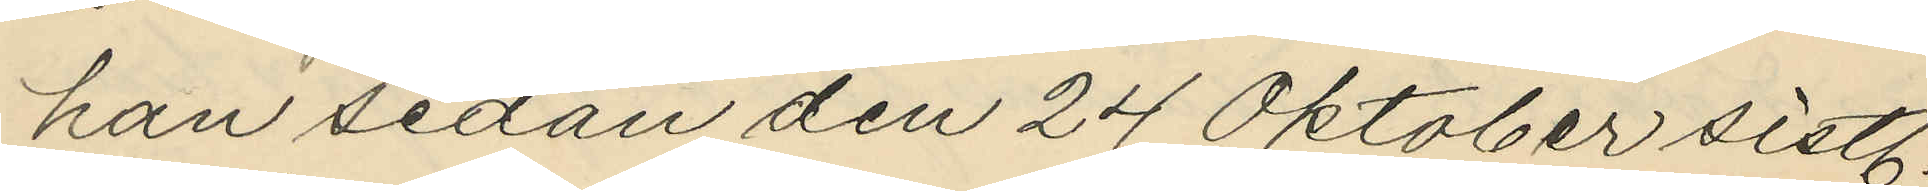han sedan den 24 Oktober sistl.
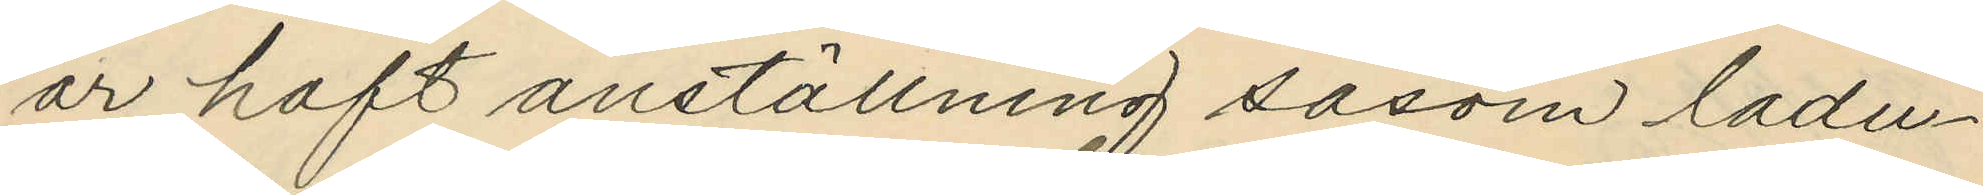år haft anställning såsom ladu¬
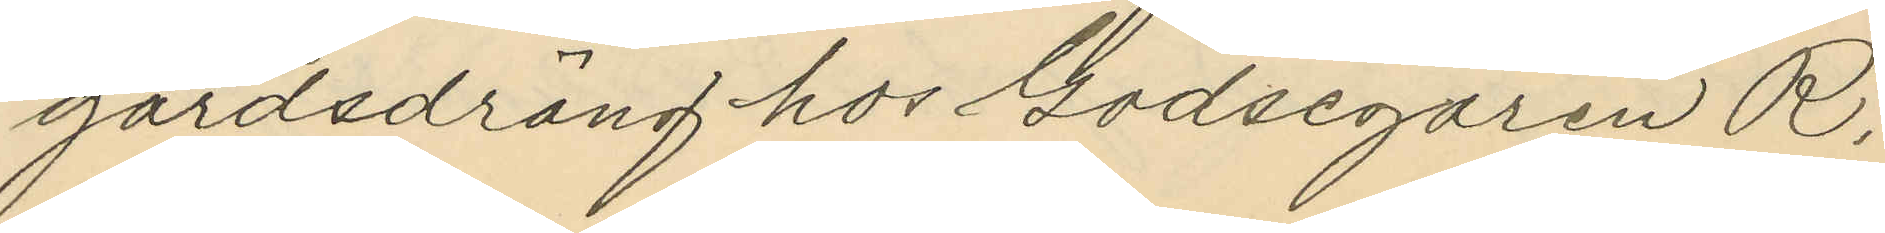gårdsdräng hos Godsegaren R.
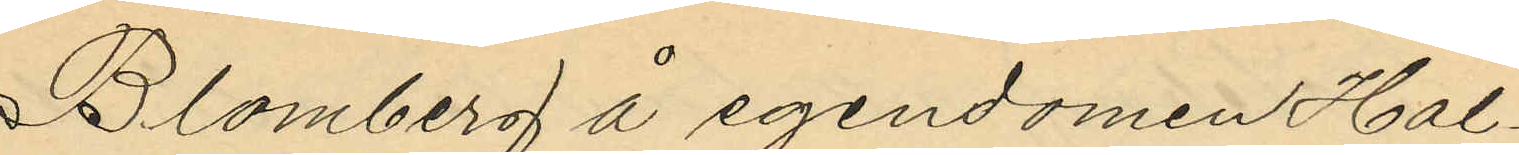Blomberg å egendomen Hal¬
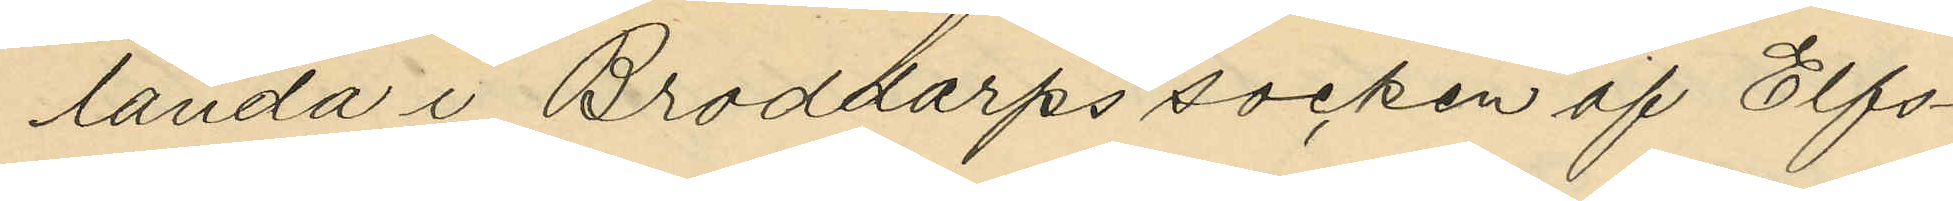landa i Broddarps socken af Elfs¬
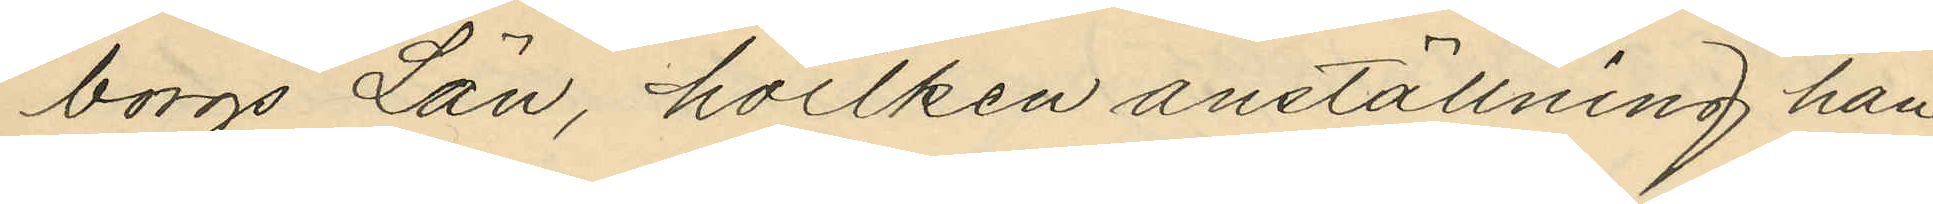borgs Län, hvilken anställning han
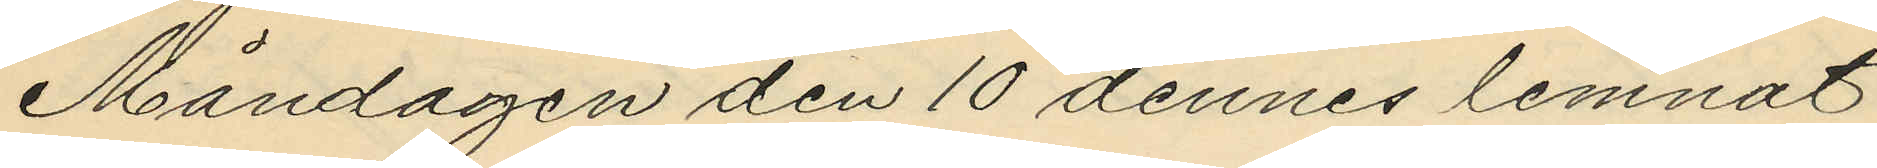Måndagen den 10 dennes lemnat
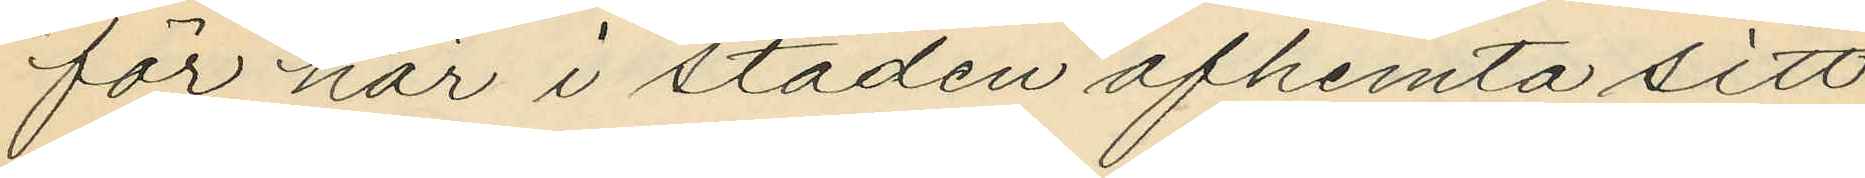för här i staden afhemta sitt
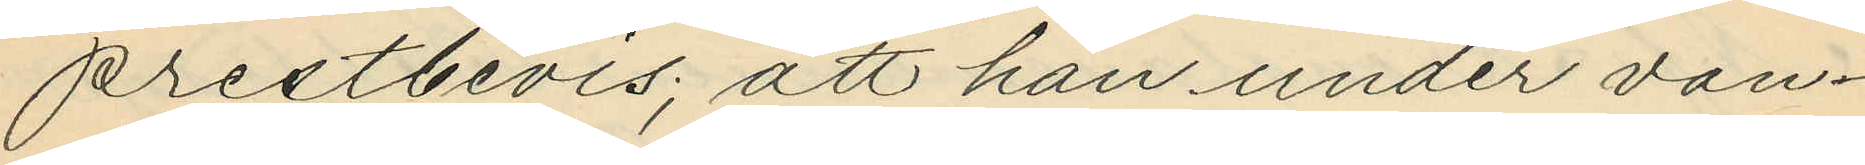prestbevis; att han under van¬
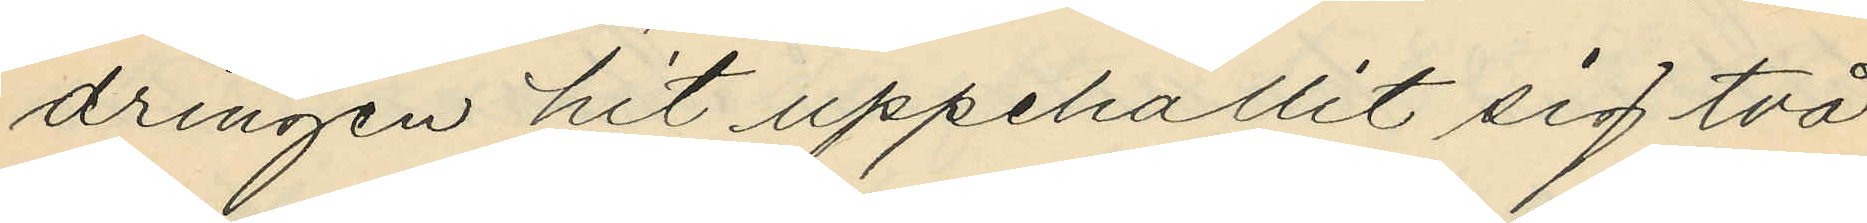dringen hit uppehållit sig två
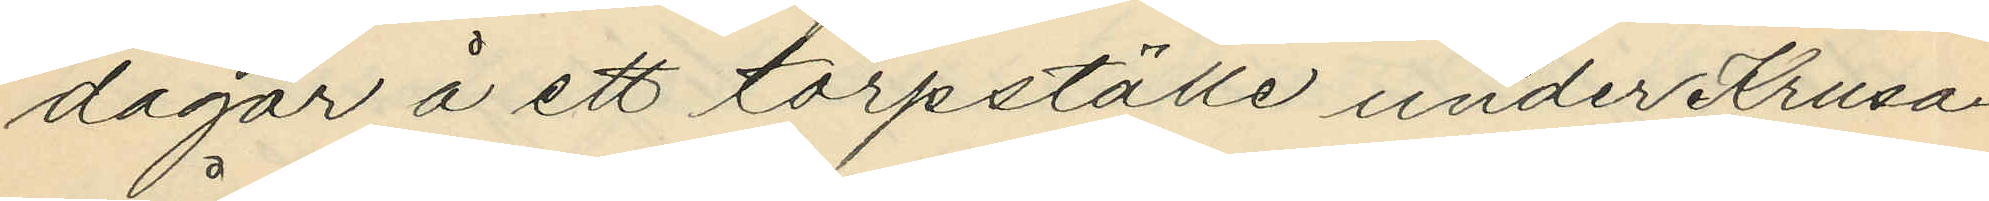dagar å ett torpställe under Krusa¬
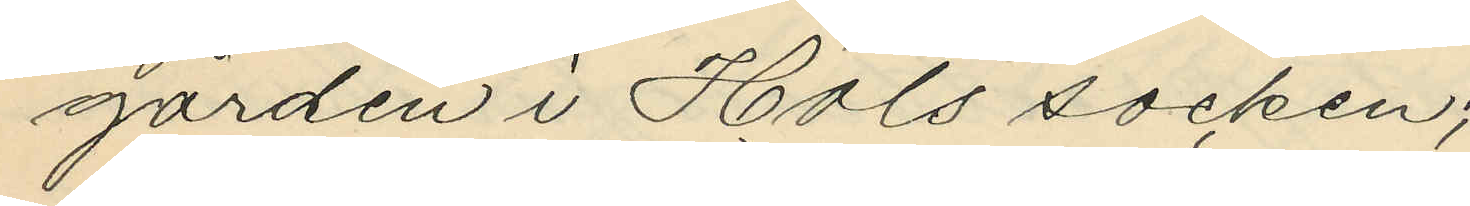gården i Hols socken;
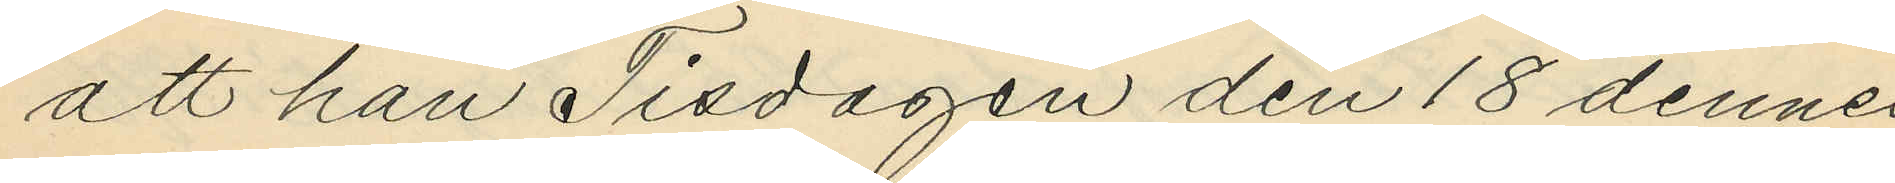att han Tisdagen den 18 dennes
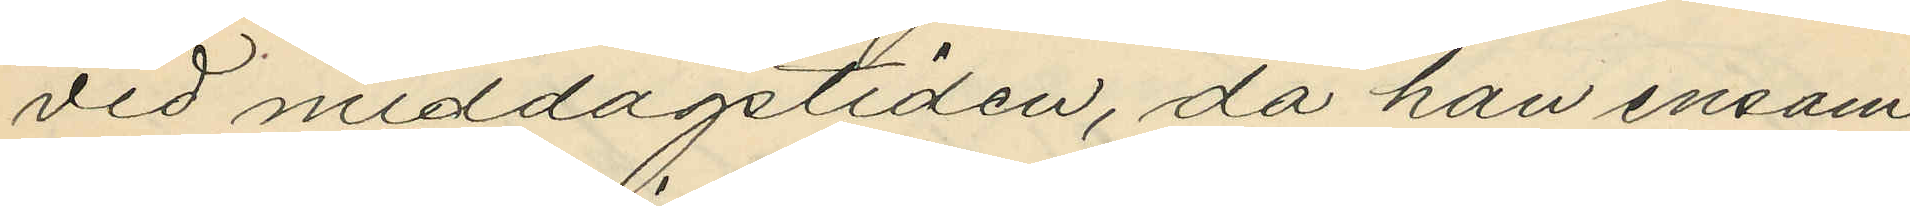vid middagstiden, då han ensam
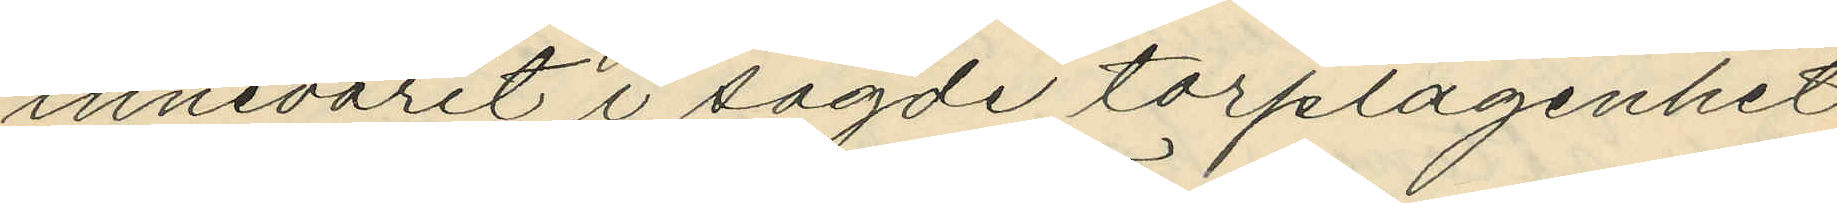innevarit i sagde torplägenhet
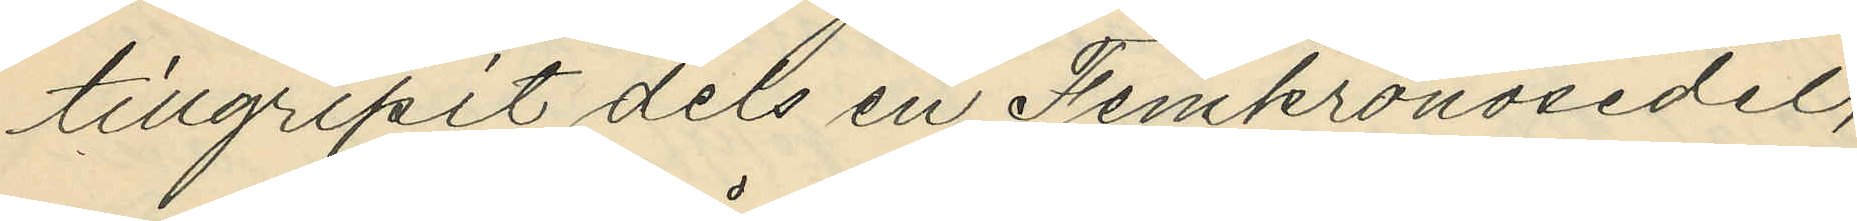tillgripit dels en Femkronosedel,
